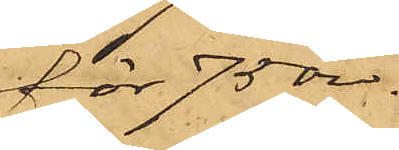för 75 öre.
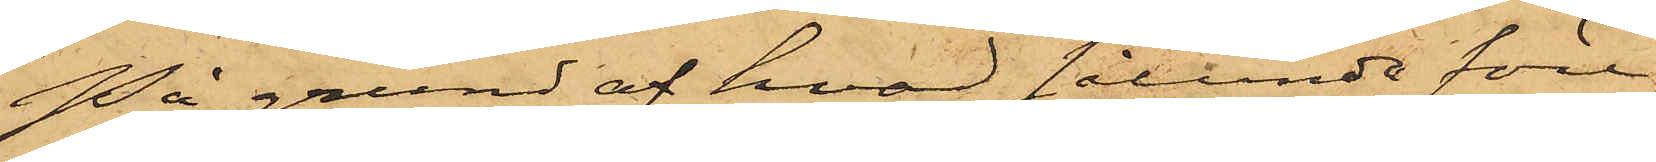På grund af hvad sålunda före¬
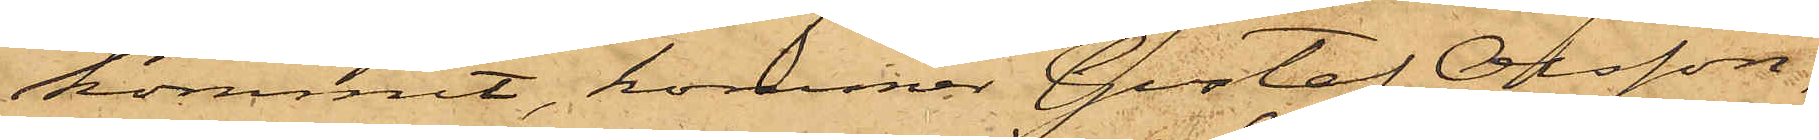kommit, kommer Gustaf Olsson,
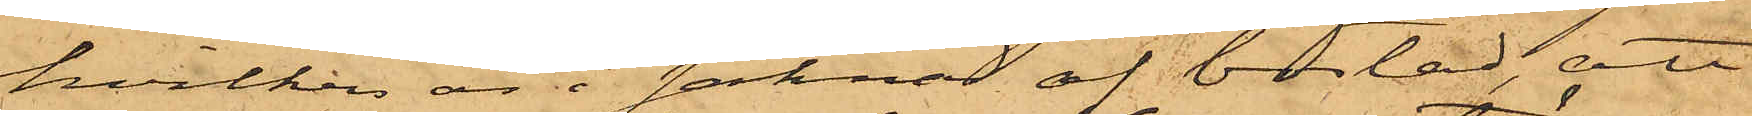hvilken är i saknad af bostad, att
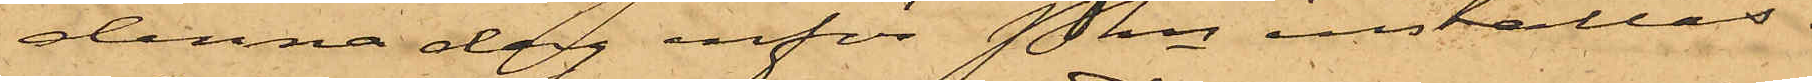denna dag inför Pkn inställas.
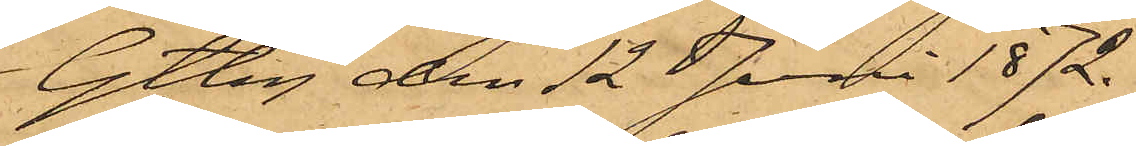Gtbg den 12 Juni 1872.
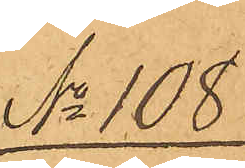No 108
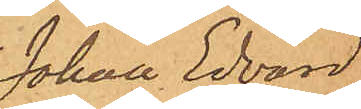Johan Edvard
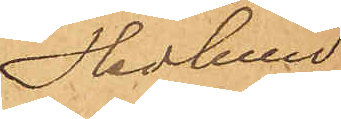Hedlund
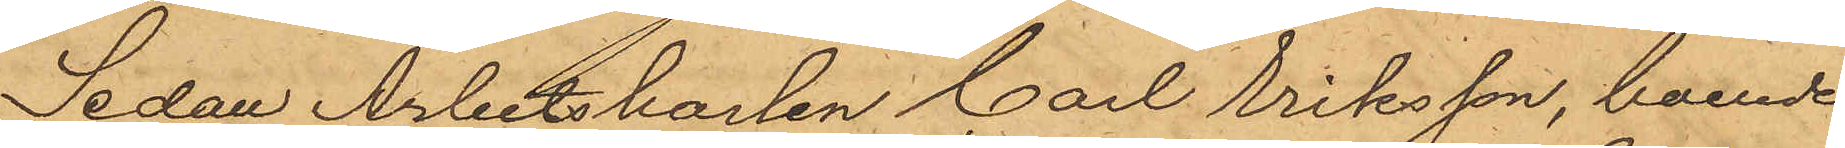Sedan Arbetskarlen Carl Eriksson, boende 
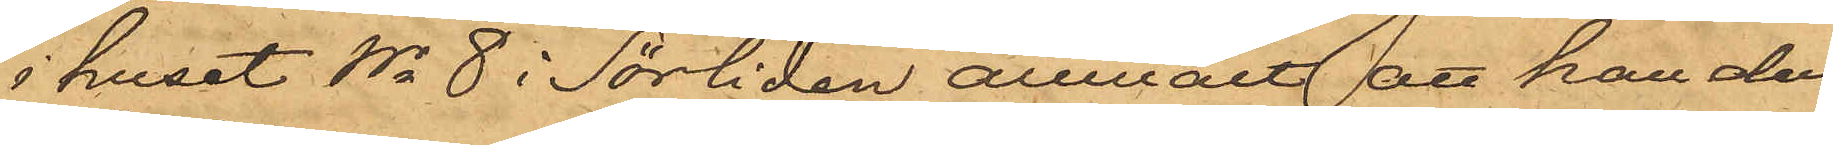i huset No 8 i Sörliden anmält att han den
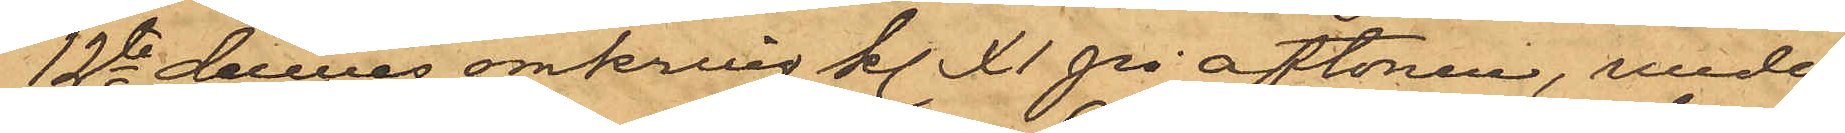12te dennes omkring kl. XI på aftonen, under
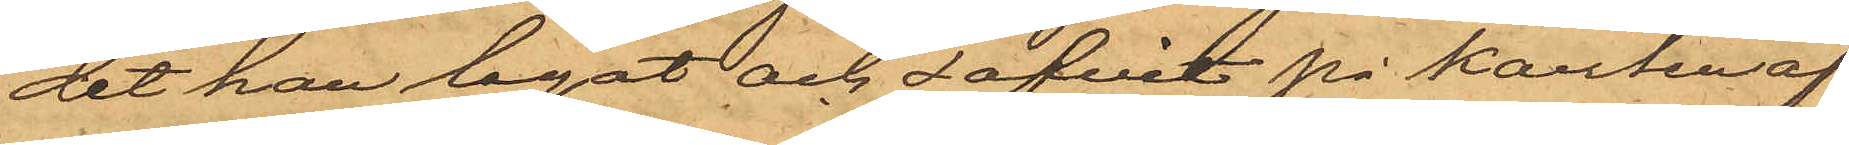det han legat och sofvit på kanten af
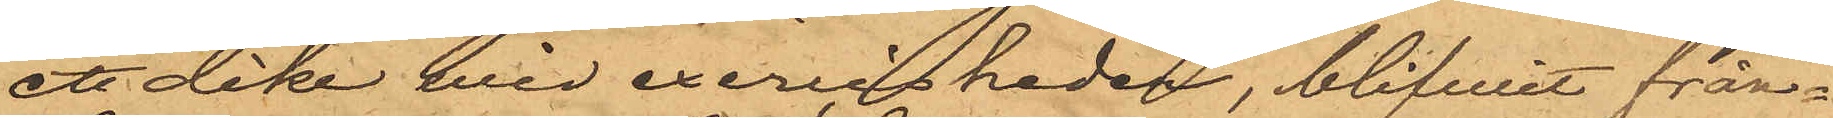ett dike vid exercisheden, blifvit från¬
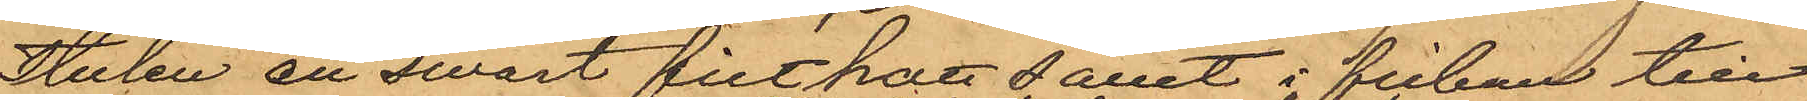stulen en swart filthatt samt i fickan till
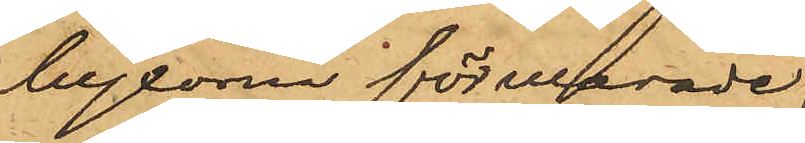byxorna förvarade
